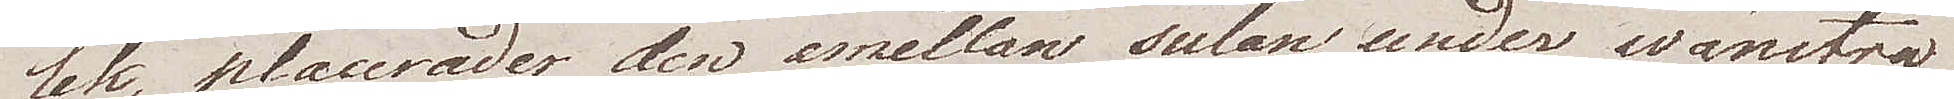lek, placerade den emellan sulan under wänstra
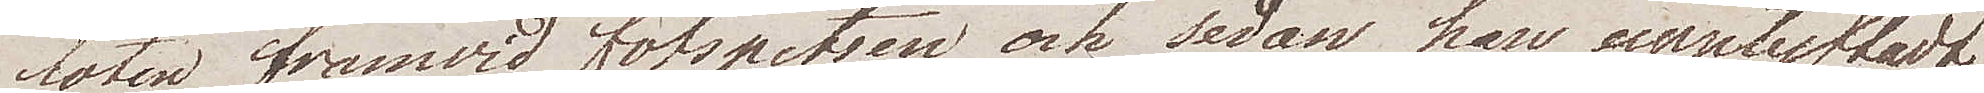foten framvid fotspetsen, och sedan han upplyftadt
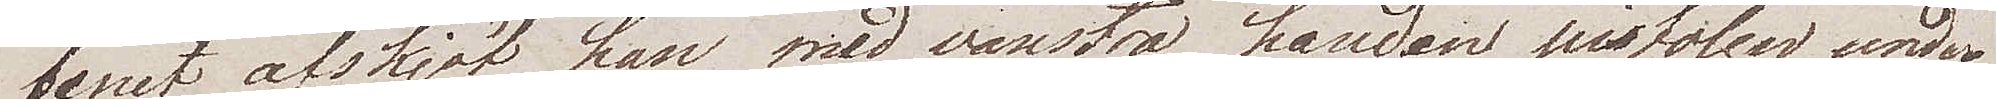benet, afskjöt han med vänstra handen pistolen under
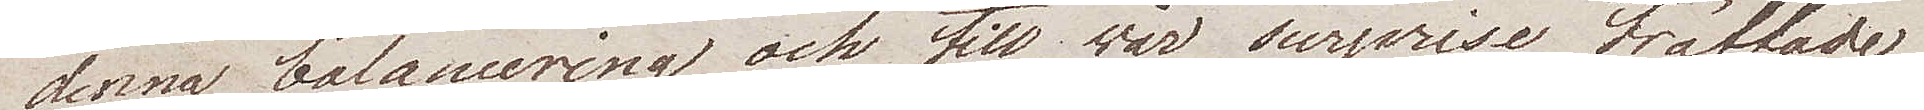denna balansering och till wår surprise träffade
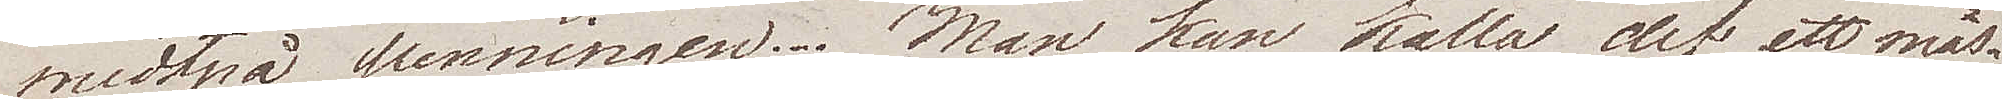midt på penningen. Man kan kalla det ett mäs¬
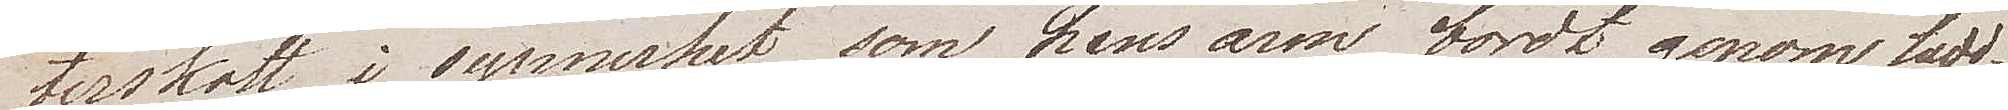terskott i synnerhet som hans arm bordt, genom ladd¬
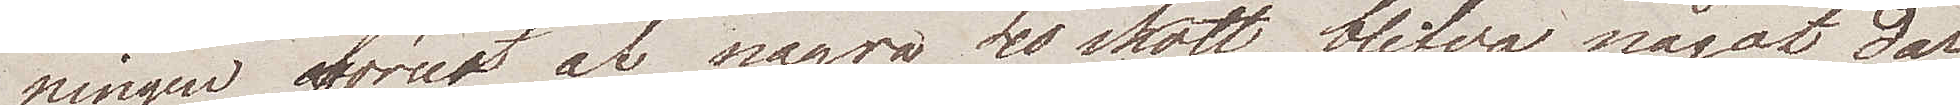ningen förut af några 40 skott, blifva något dar¬
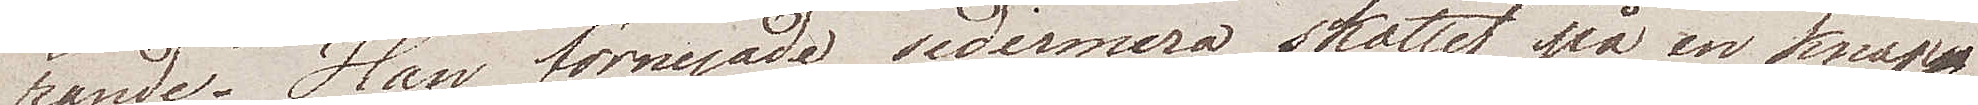rande. Han förnyade sedermera skottet på en knapp¬
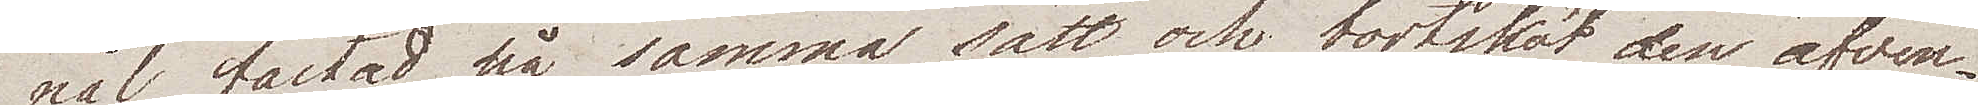nål, fästad på samma sätt, och bortsköt den äfven¬
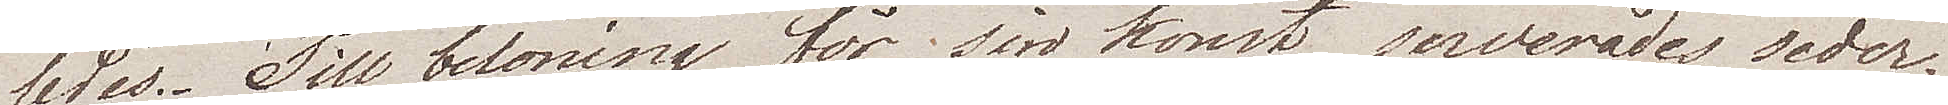ledes. Till belöning för sin konst, serverades seder¬
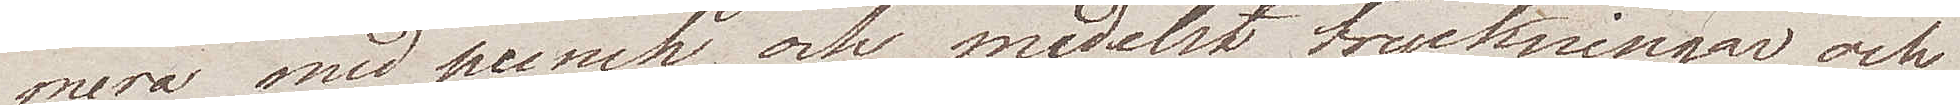mera med punch och medelst tryckningar och
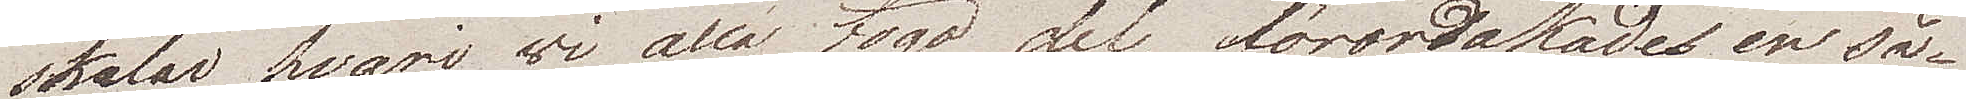skålar hvari wi alla togo del, förorsakades en så¬
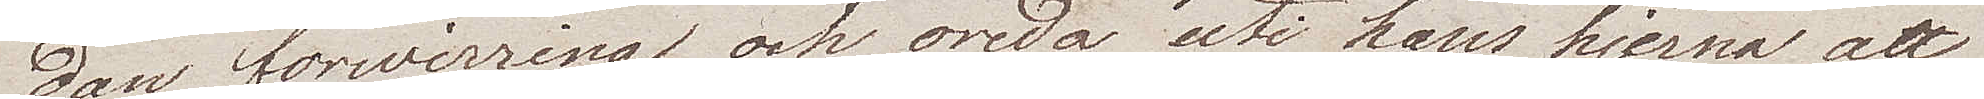dan förwirring och oreda uti hans hjerna att
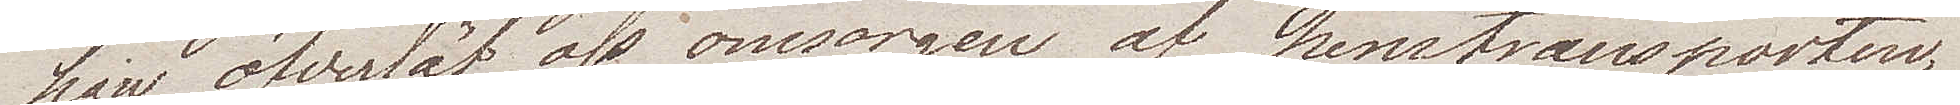han öfverlät oss omsorgen af hemtransporten,
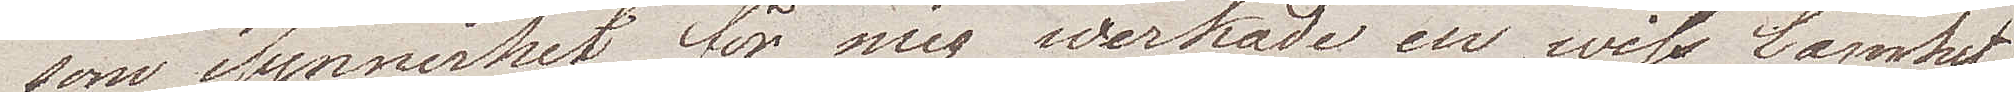som isynnerhet för mig werkade en wiss lamhet
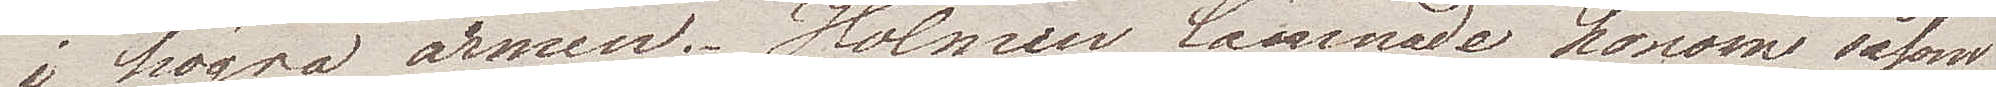i högra armen. Holmen lämnade honom såsom
